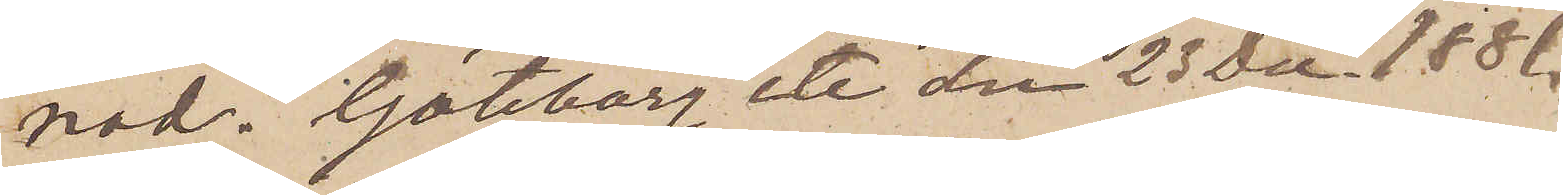nad. Göteborg etc den 23 Dec 1881.
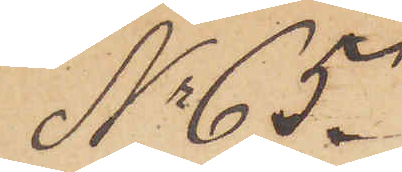No 65.
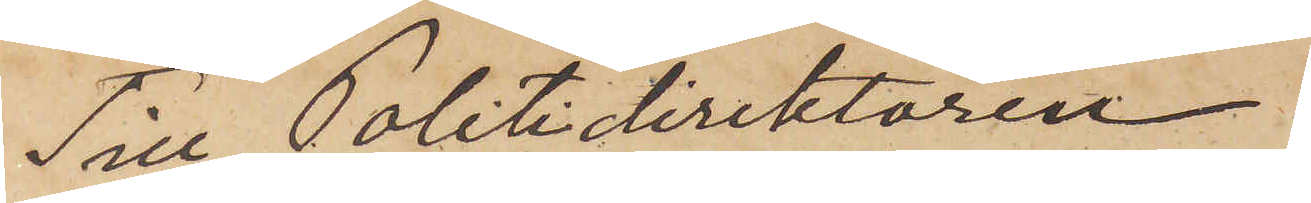Till Politidirektören
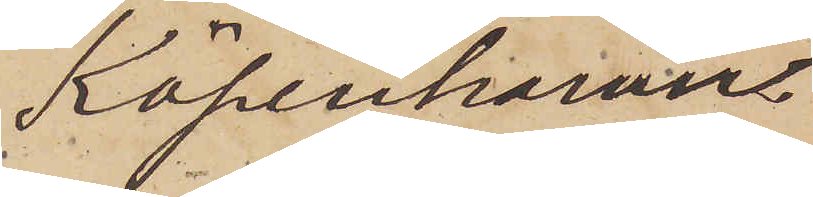Köpenhamn.
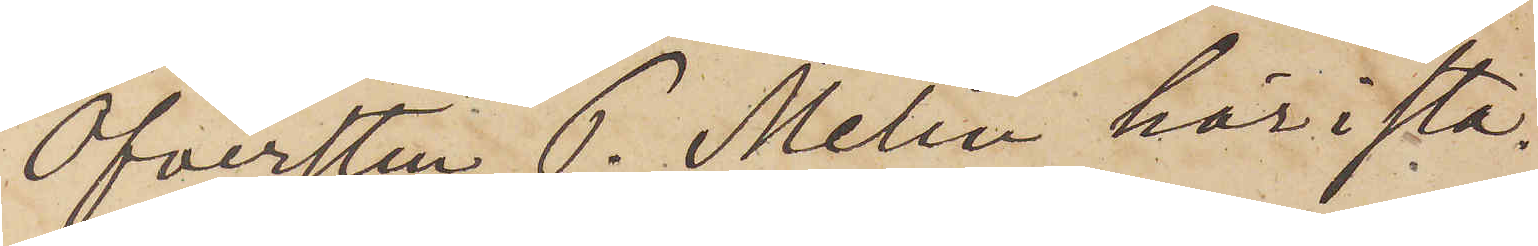Öfversten P. Melin här i sta¬
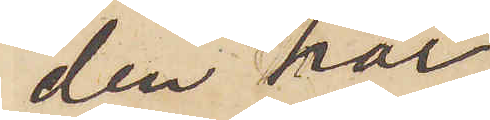den har
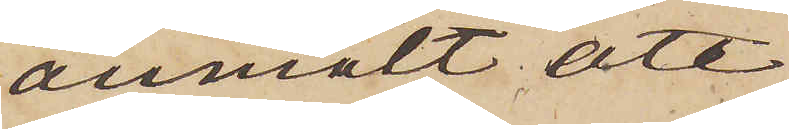anmält att
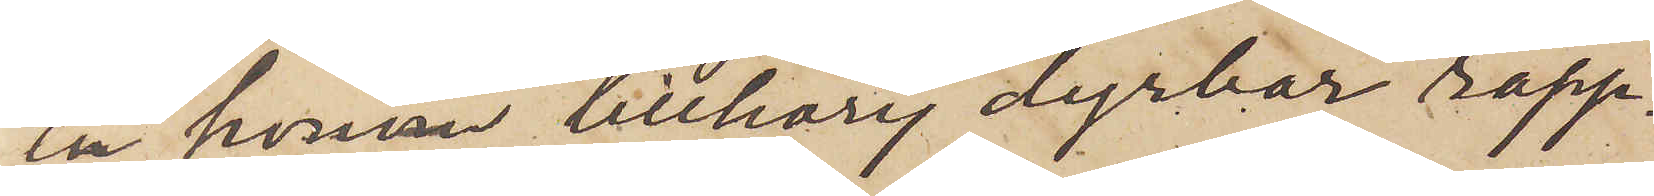en honom tillhörig dyrbar rapp¬
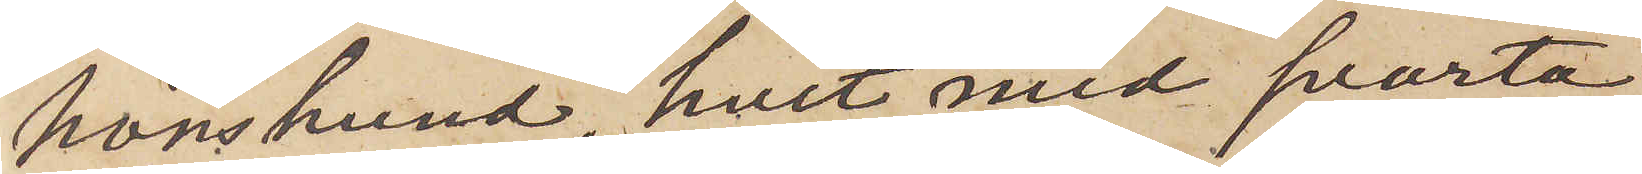hönshund, hvit med svarta
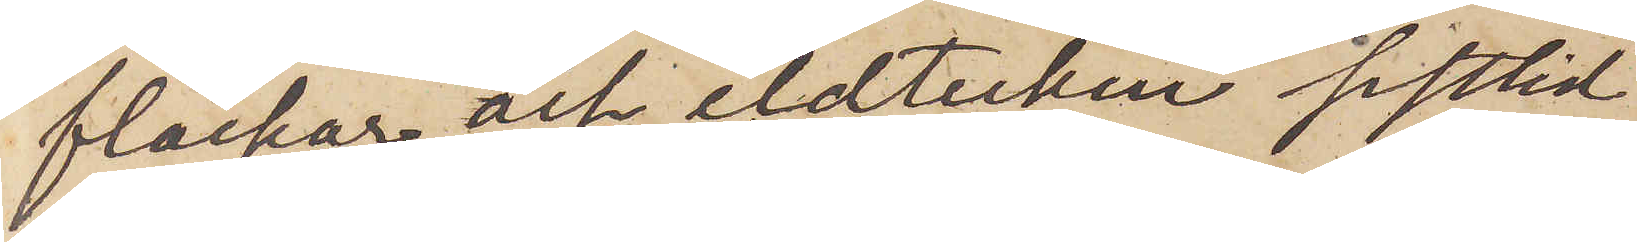fläckar och eldtecken sistlid¬
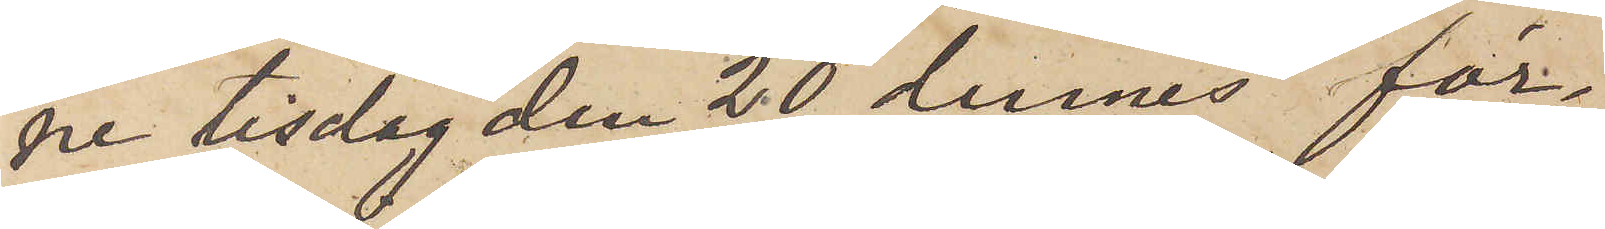ne tisdag den 20 dennes för¬
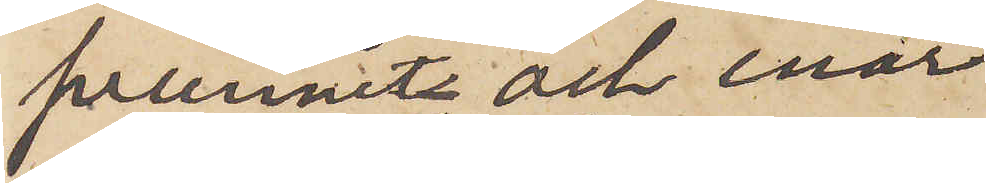svunnit, och enär
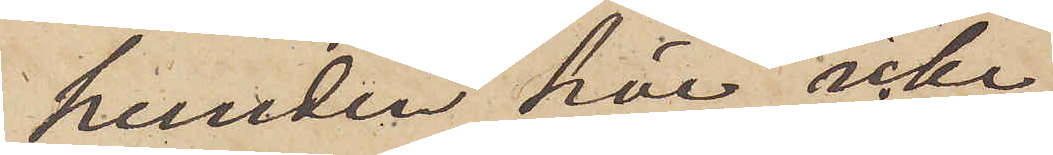hunden här icke,
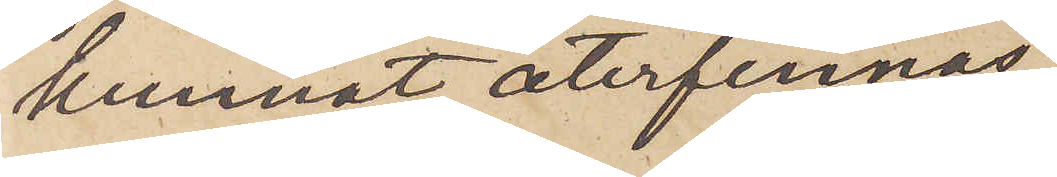kunnat återfinnas,
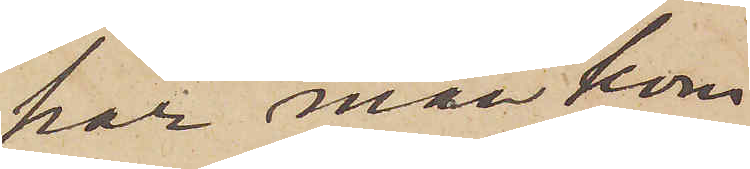har man kom¬
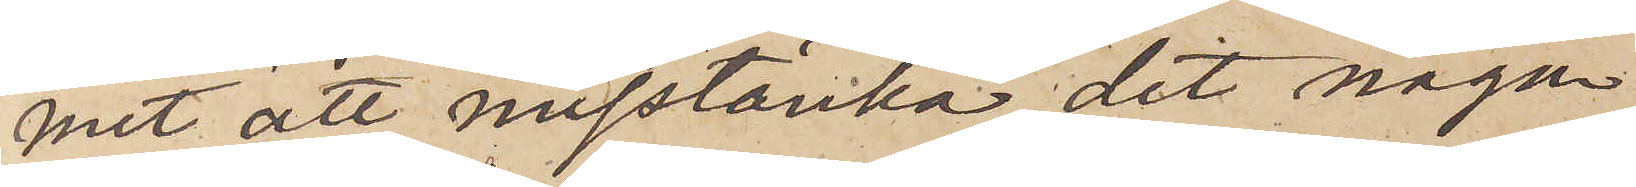mit att misstänka, det någon
